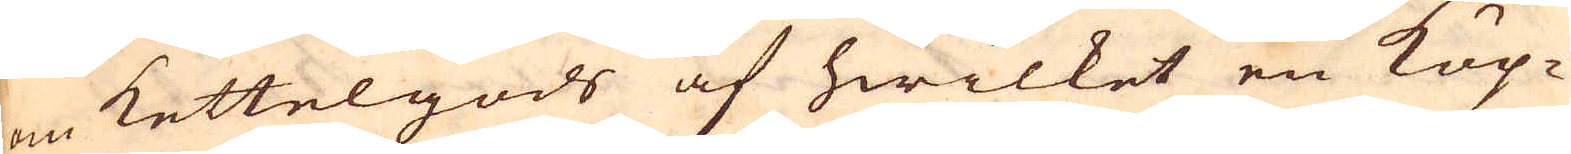om kettelgods af hwilket en Köp-
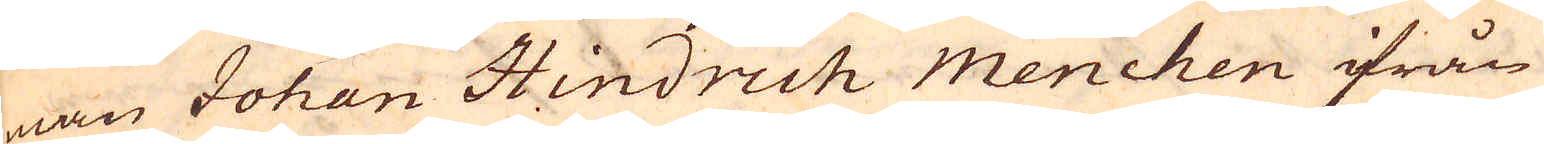man Johan Hindrich Menchen ifrån
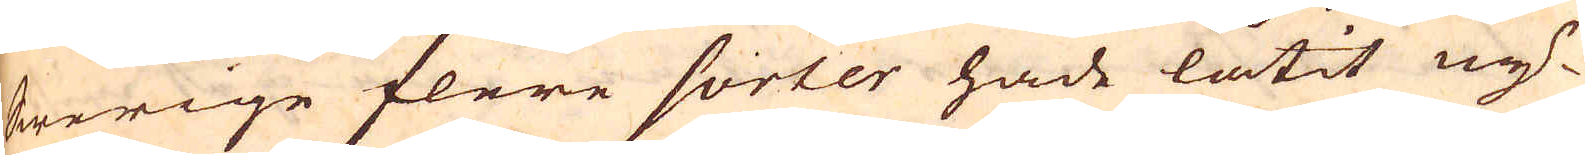Swerige flere sorter hade låtit ny-
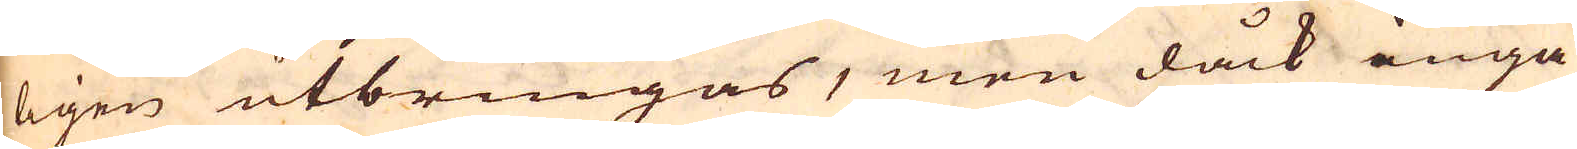ligen utbringas, men dåck inga
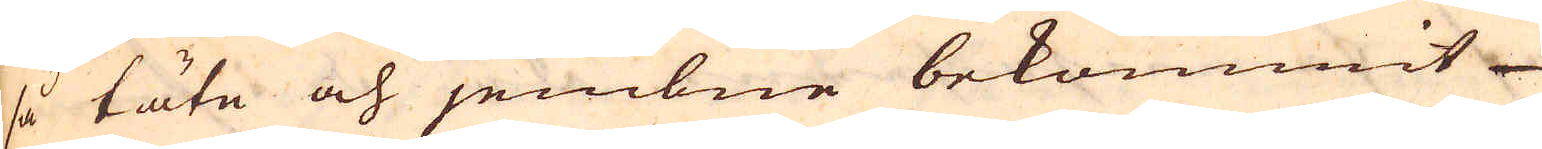så täte och jembne bekommit
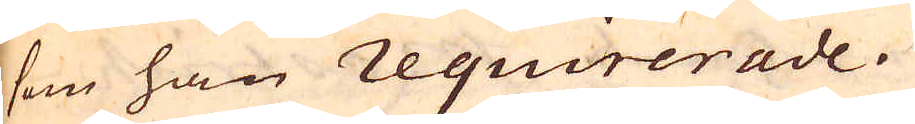som han requirerade.
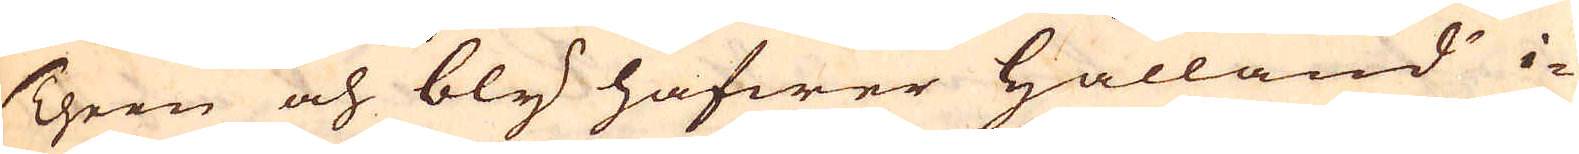Theen och bly hafwer Hålland i-
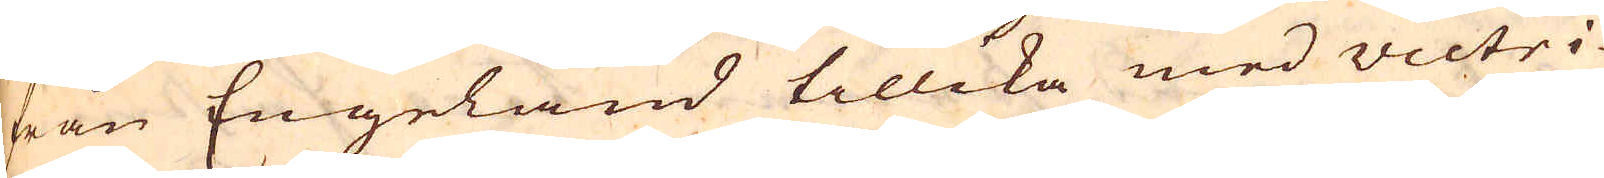från Engeland tillika med victri-
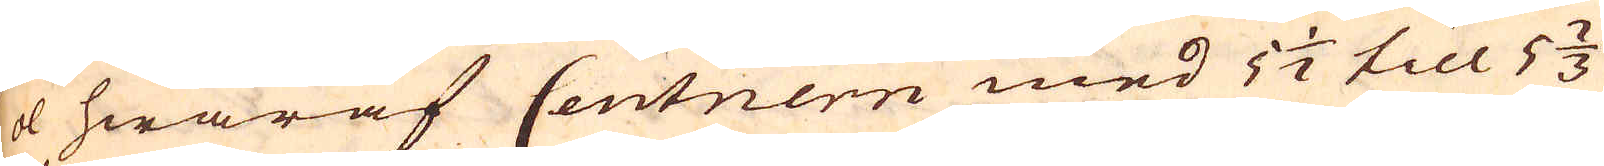ol hwaraf Centnern med 5 1/2 till 5 2/3
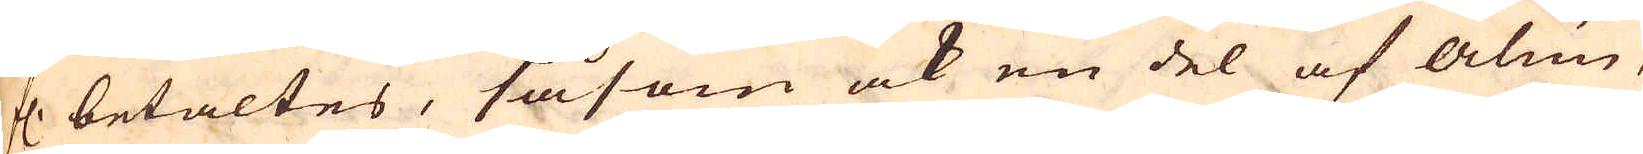f. betaltes, såsom ock en del af Alun-
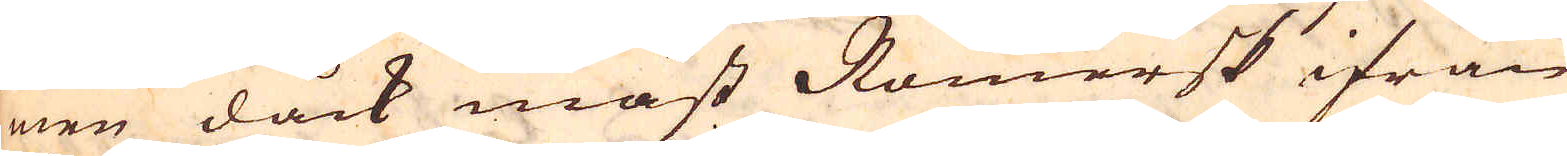men dåck mäst Romersk ifrån
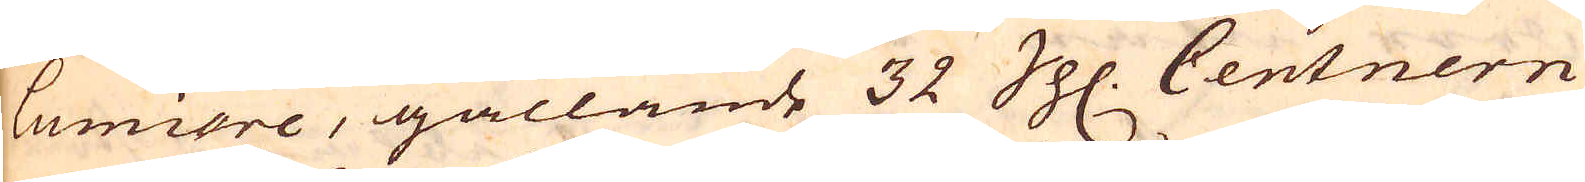lumiore, gällande 32 Sh. Centnern
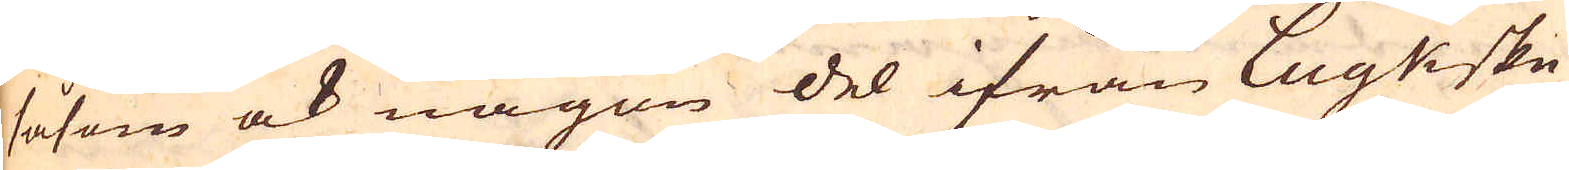såsom ock någon del ifrån Lugkske
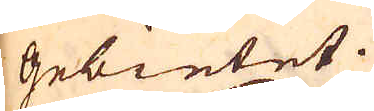Gebietet.
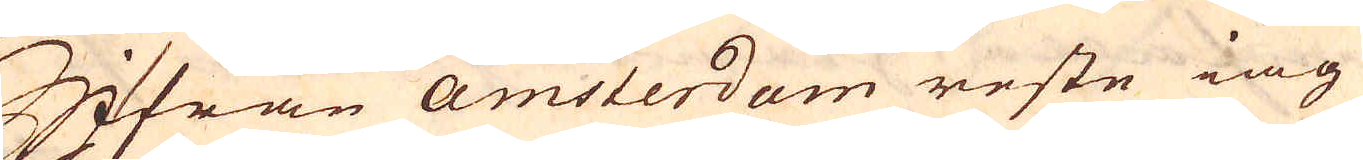Ifrån amsterdam reste iag
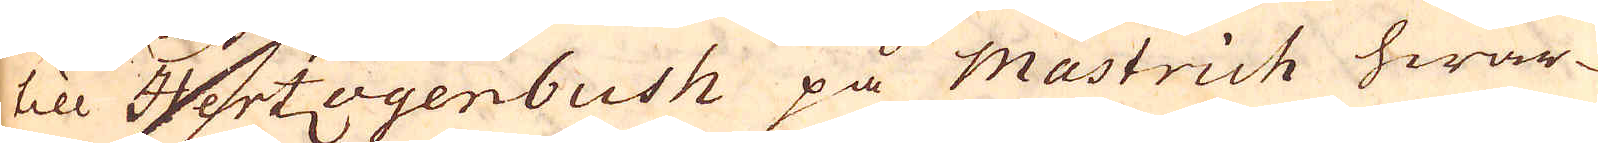till Hertzogenbush på Mastrich hwar-
